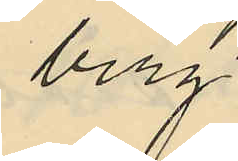berg
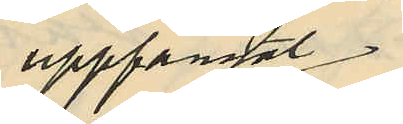uppfångat
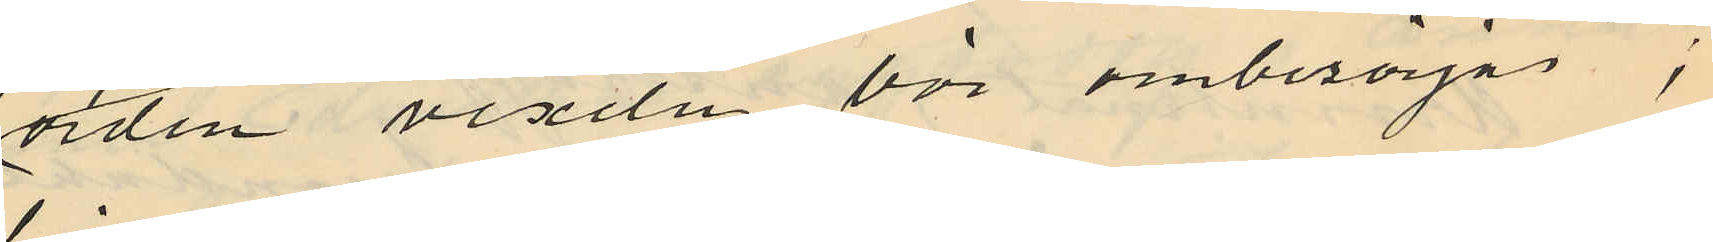orden "vexeln bör ombesörjas";
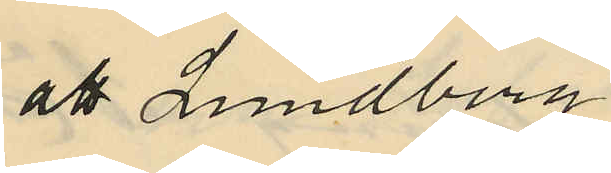att Lundberg
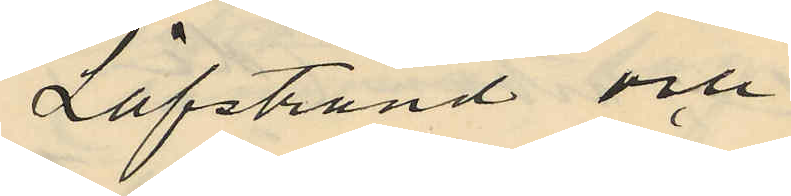Löfstrand och
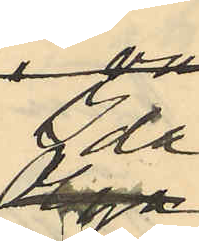Ida
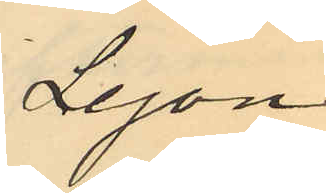Lejon
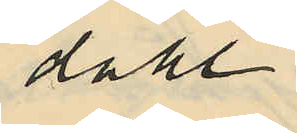dahl
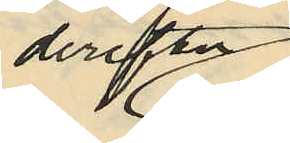derefter
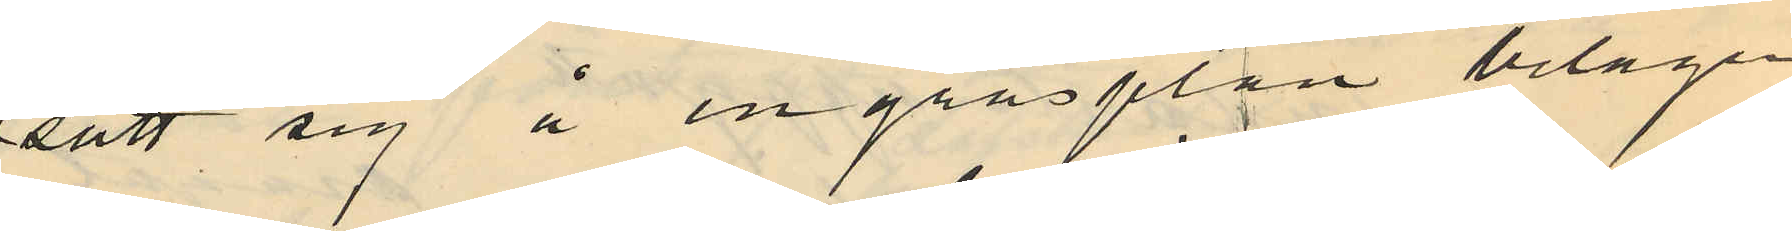satt sig å en gräsplan belägen
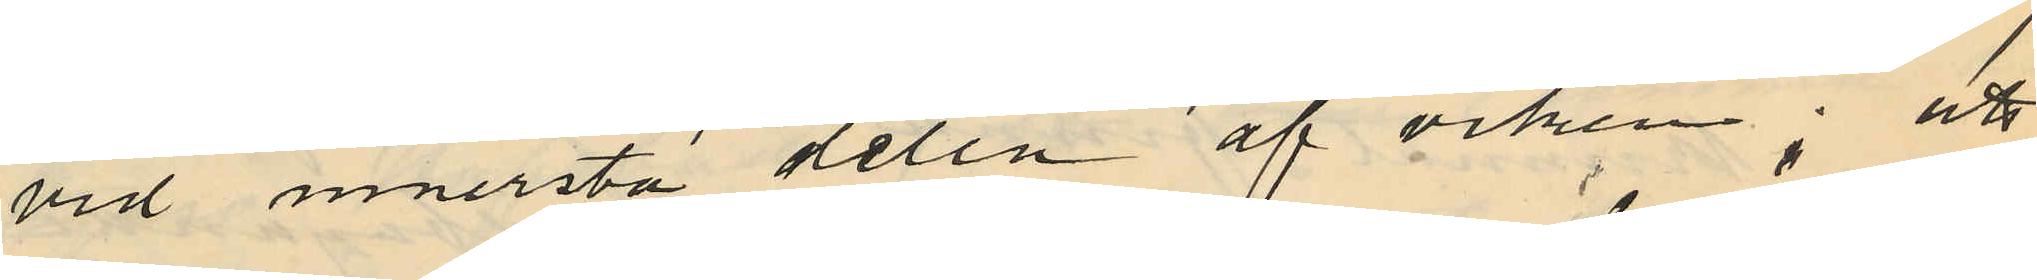vid innersta delen af viken; att
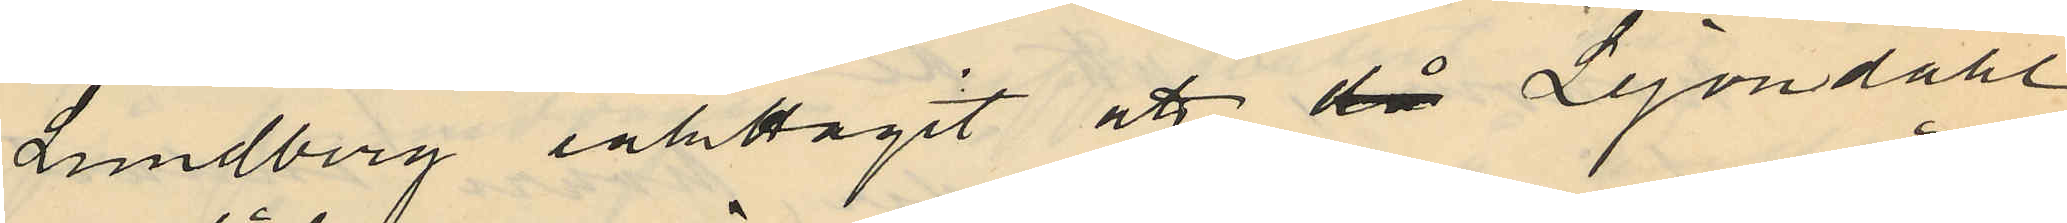Lundberg iaktagit att då Lejondahl
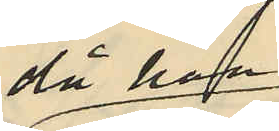då han
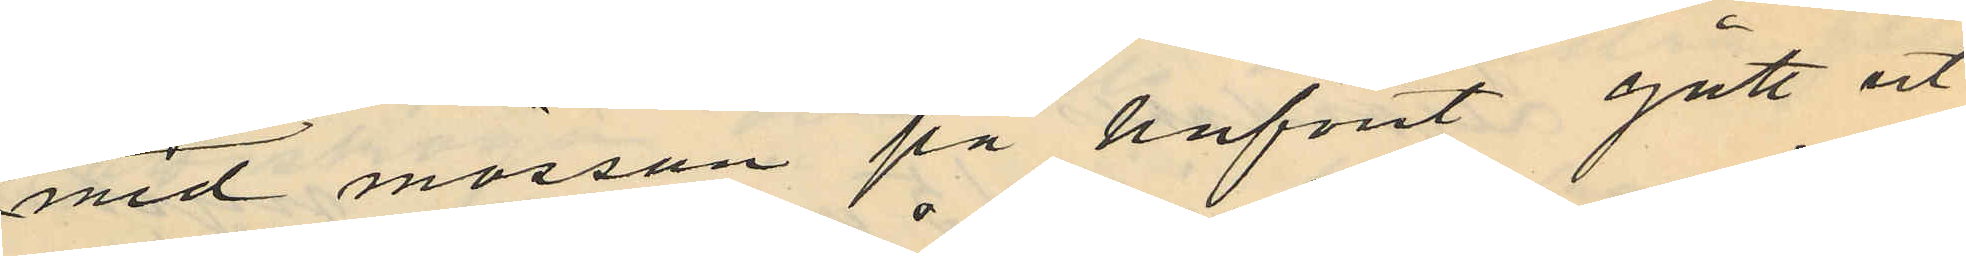med mössan på hufvut gått ut
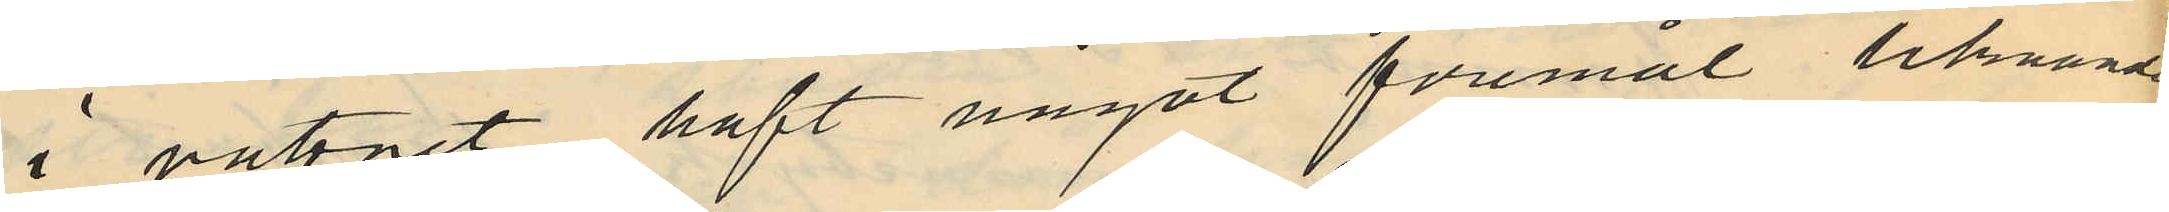i vattnet haft något föremål liknande
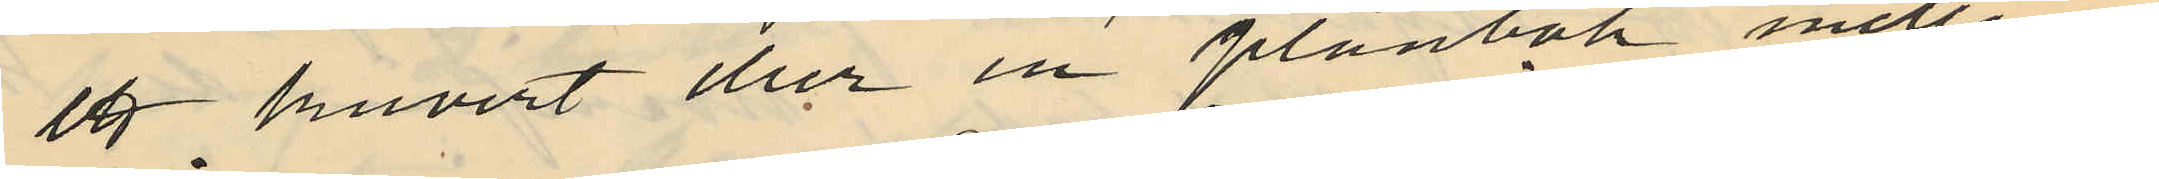ett kuvert eller en plånbok mellan
